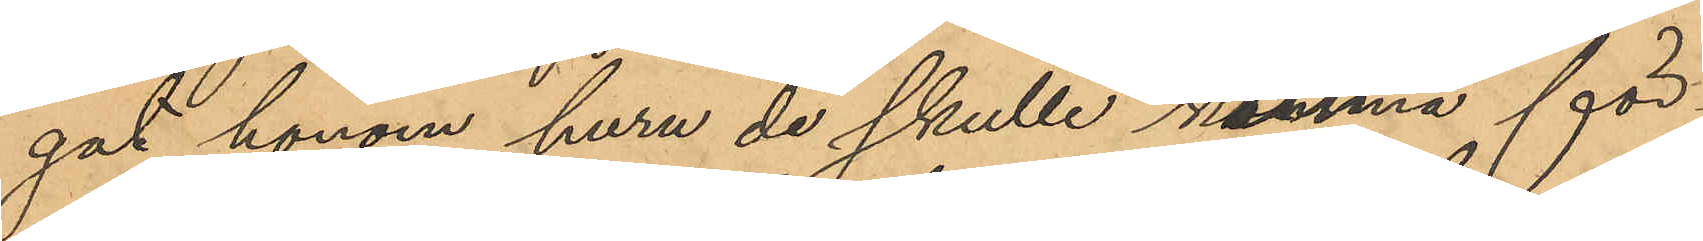gat honom huru de skulle kunna för¬
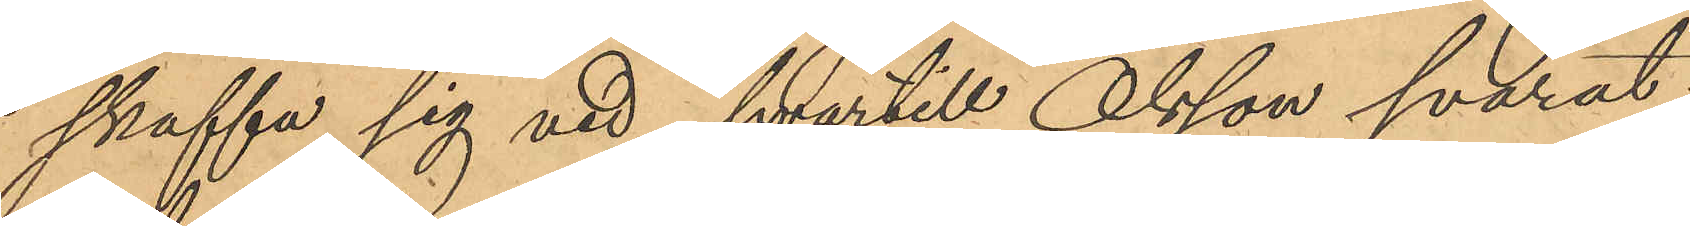skaffa sig ved, hvartill Olsson svarat:
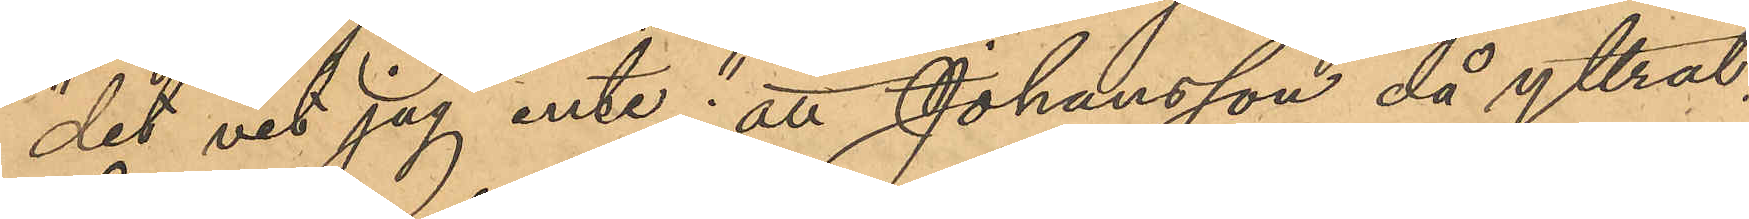"det vet jag inte"; att Johansson då yttrat:
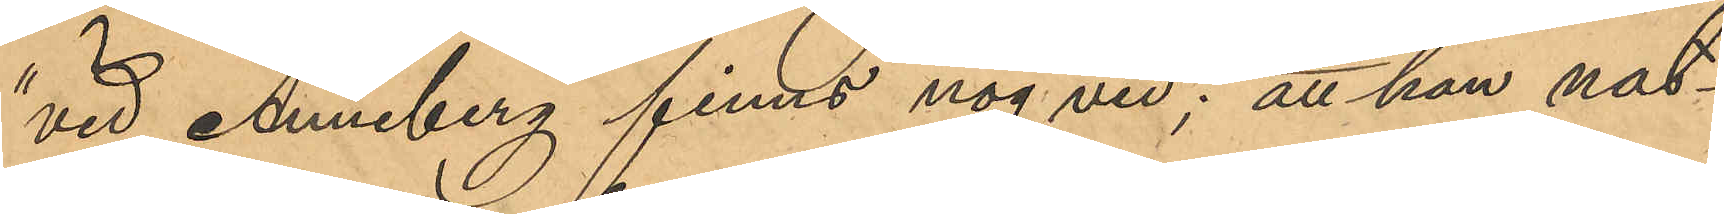"vid Anneberg finns nog ved"; att han nat¬
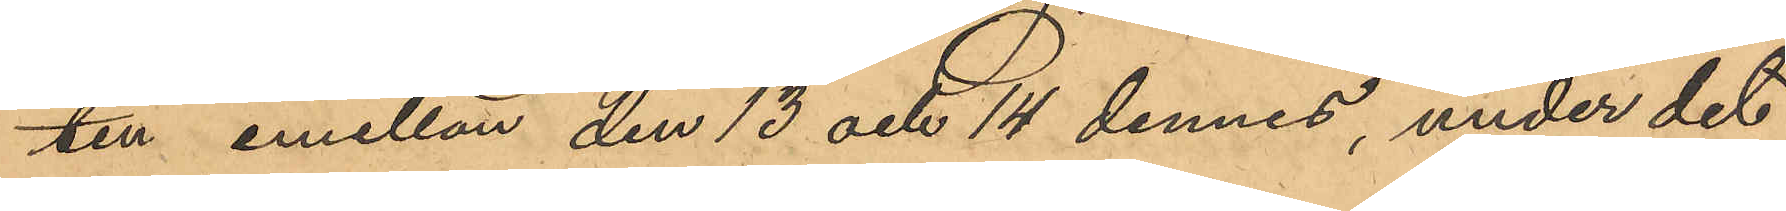ten emellan den 13 och 14 dennes, under det
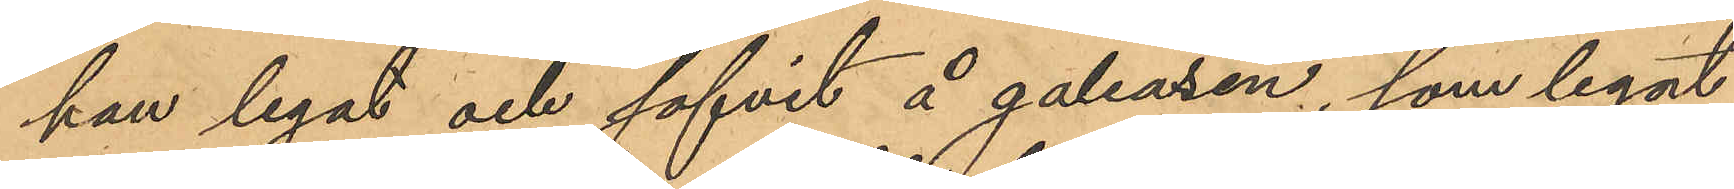han legat och sofvit å galeasen, som legat
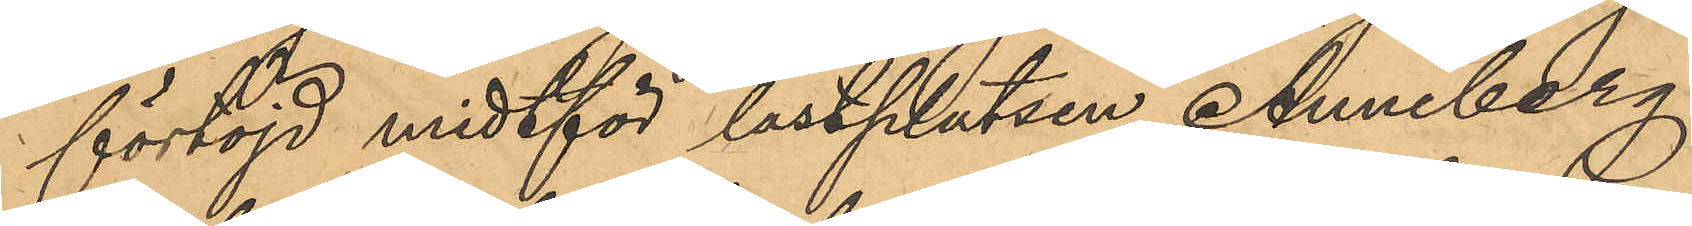förtöjd midtför lastplatsen Anneberg,
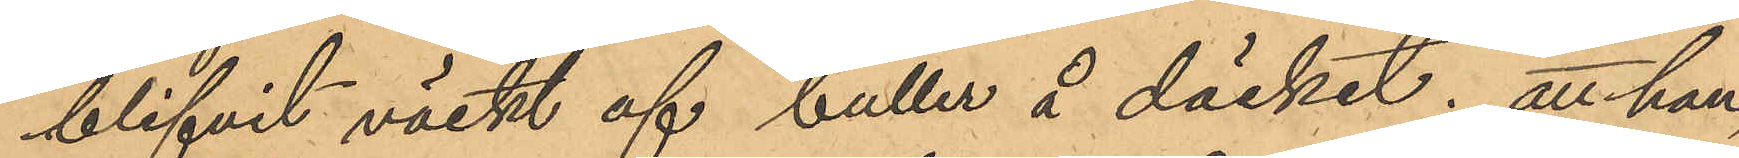blifvit väckt af buller å däcket; att han
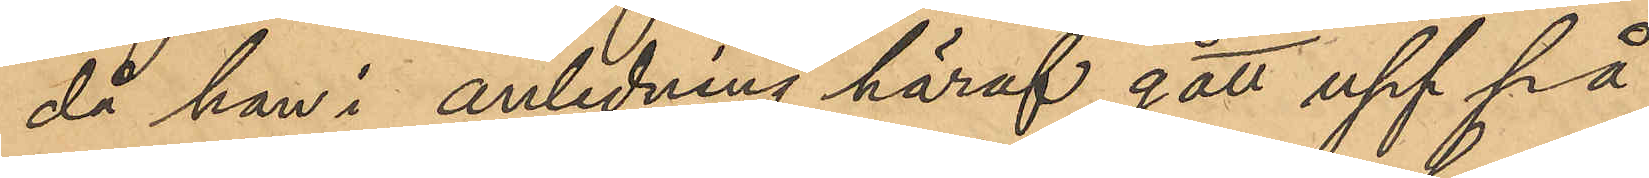då han i anledning häraf gått upp på
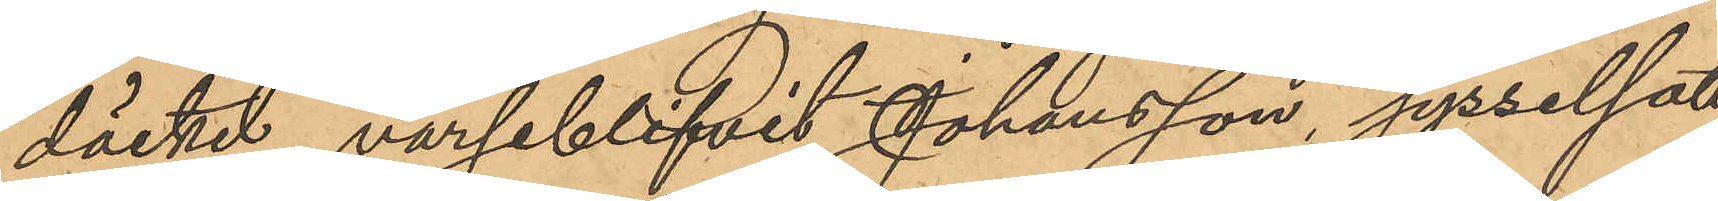däcket, varseblifvit Johansson, sysselsatt
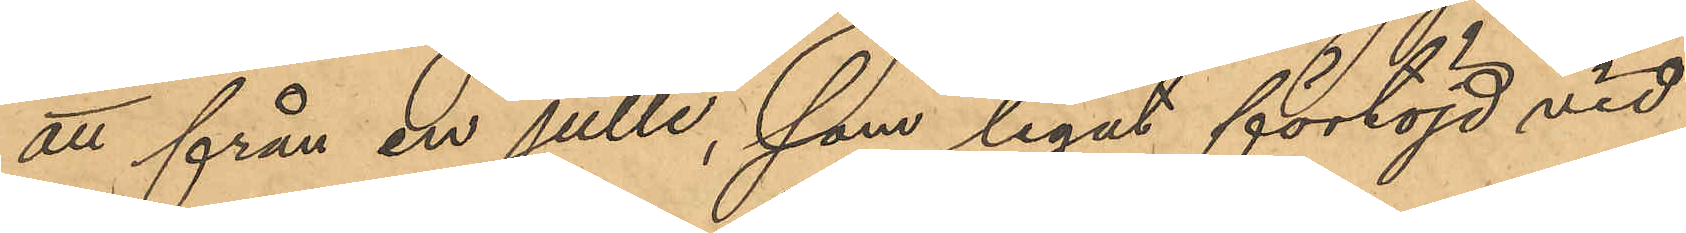att från en julle, som legat förtöjd vid
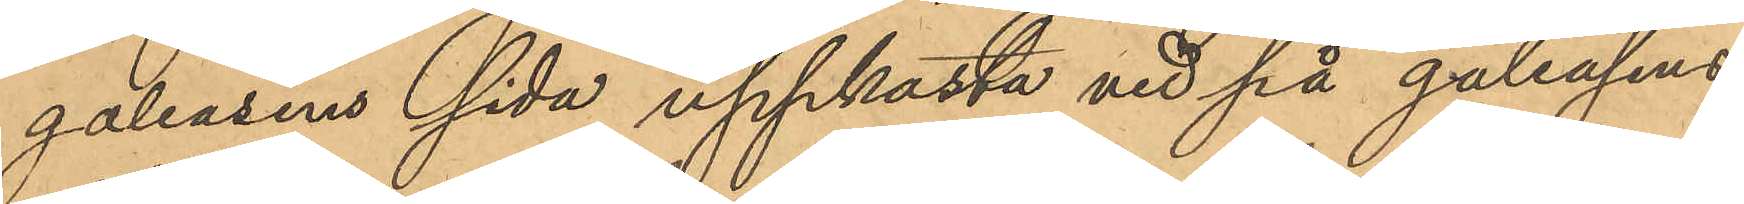galeasens sida uppkasta ved på galeasens
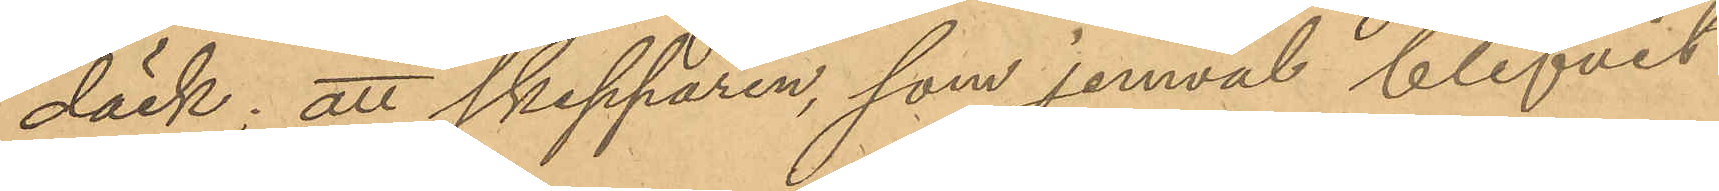däck; att skepparen, som jemväl blifvit
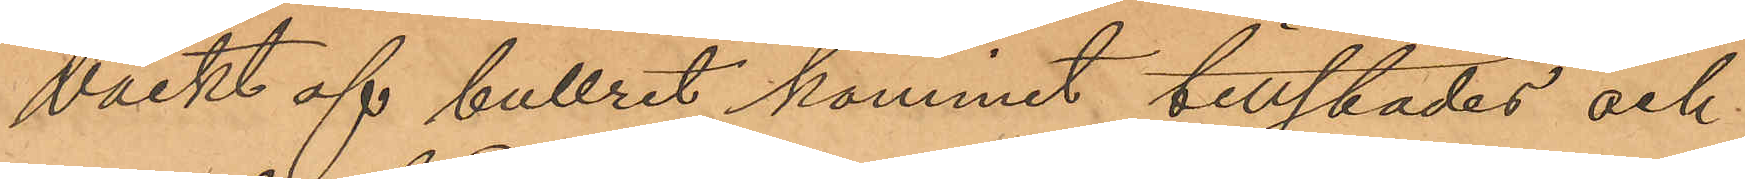väckt af bullret kommit tillstädes och
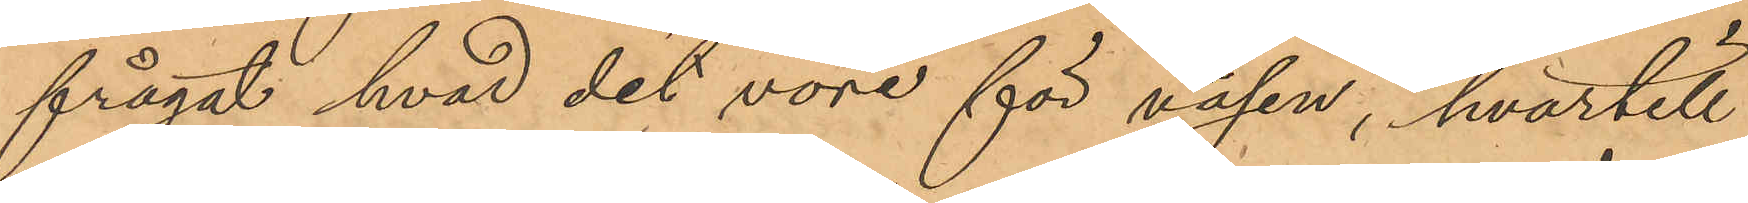frågat hvad det vore för väsen, hvartill
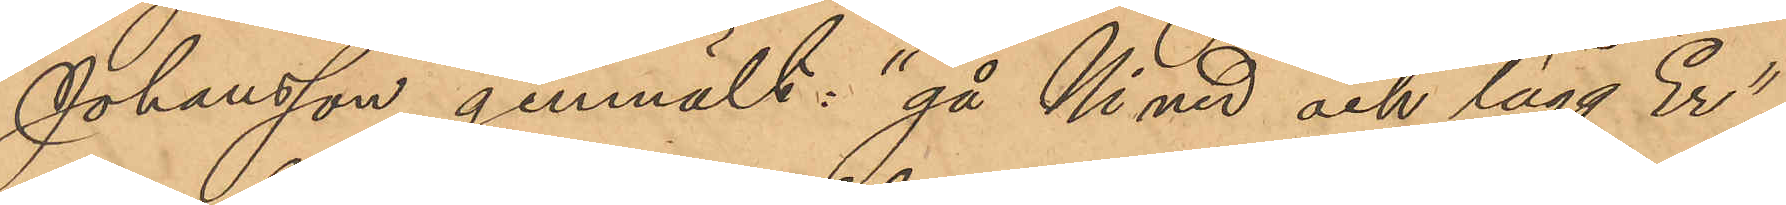Johansson genmält: "gå Ni ner och lägg Er";
